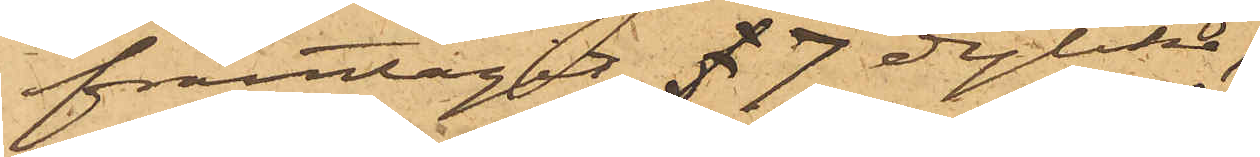framtagit 7 dylika,
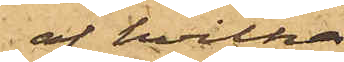af hvilka
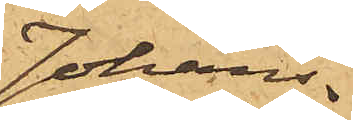Johans¬
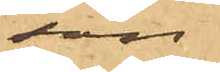son
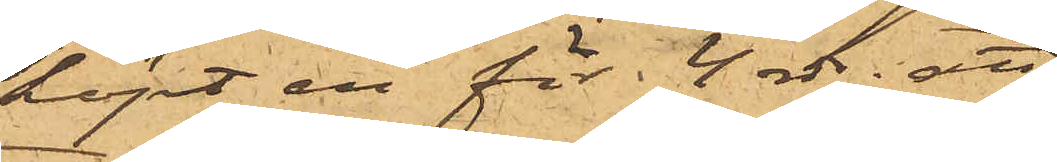köpt en för 4 rdr; att
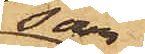som
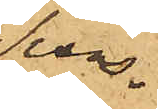Svens¬
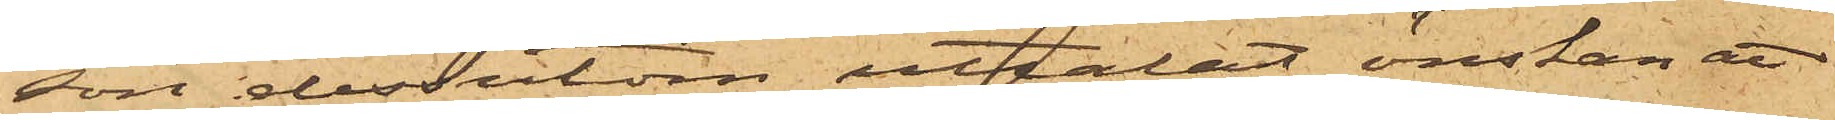son dessutom uttalat önskan att
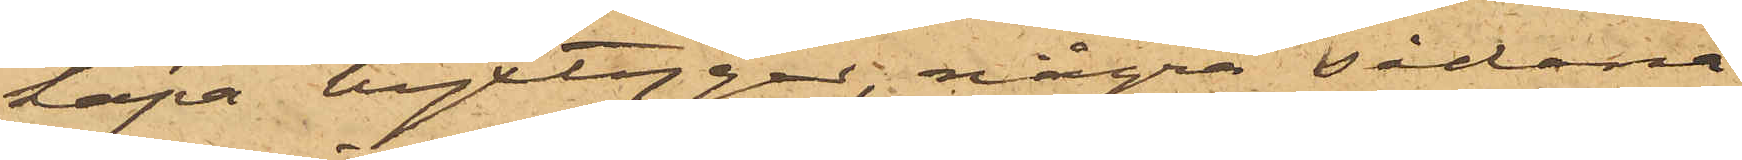köpa byxtyger, några sådana
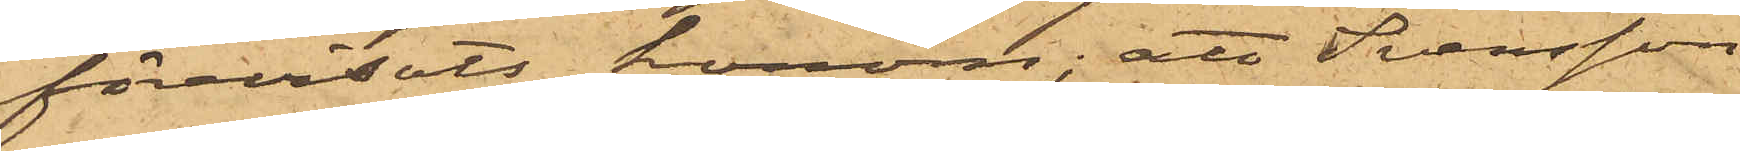förevisats honom; att Svensson
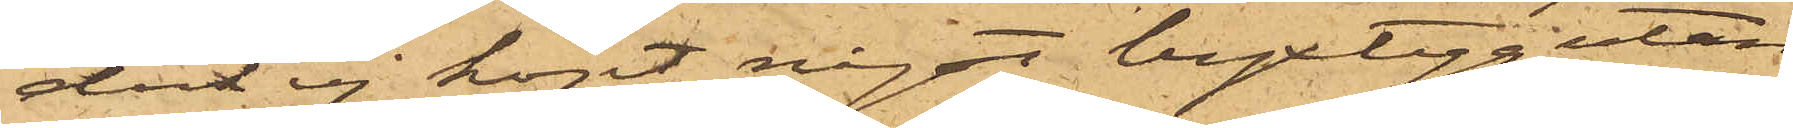dock ej köpt något byxtyg utan
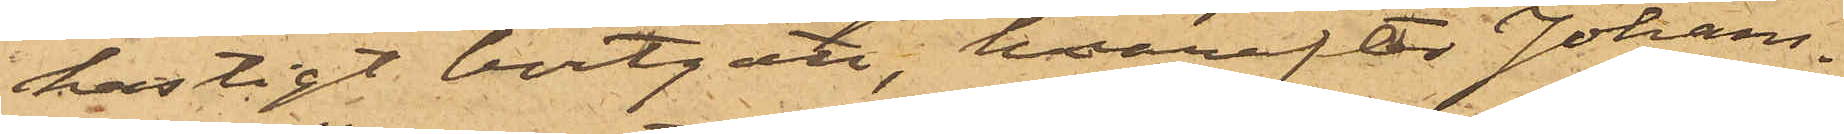hastigt bortgått, hvarefter Johans¬
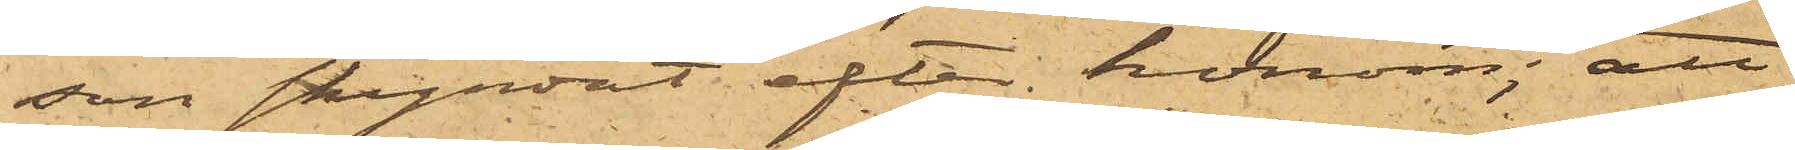son skyndat efter honom; att
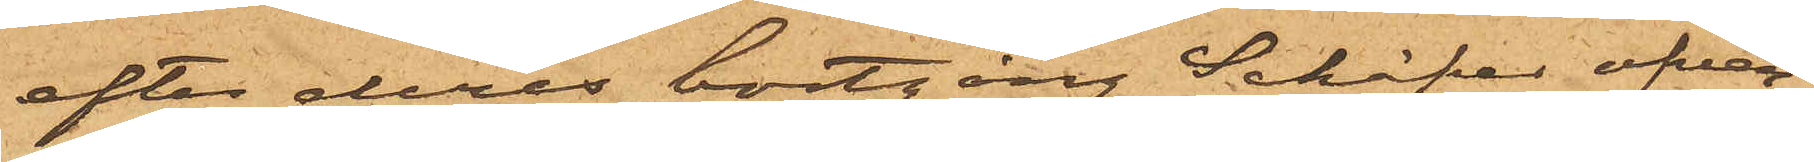efter deras bortgång Schäfer öfver¬
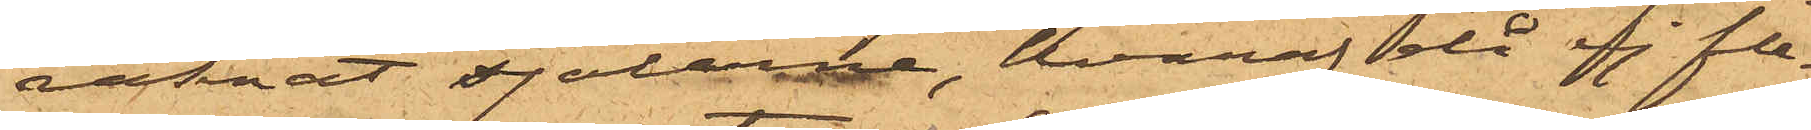räknat sjalarne, hvaraf då ej fle¬
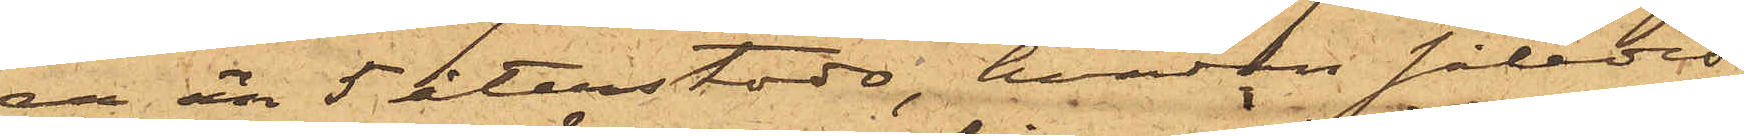ra än 5 återstodo, hvadan således
